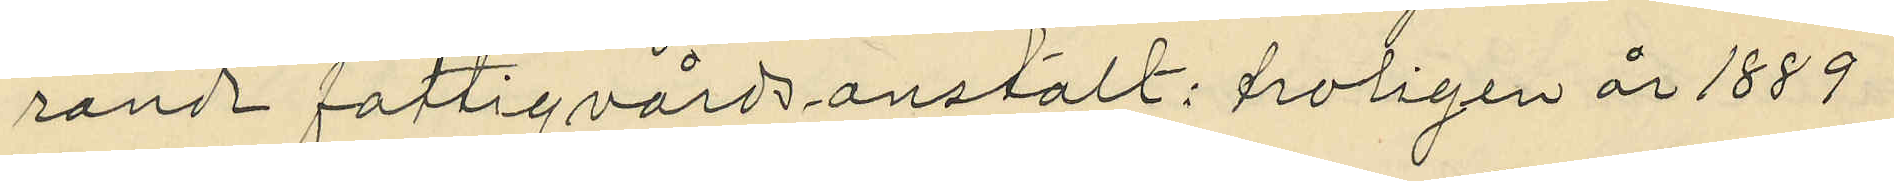rands fattigvårdsanstalt: troligen år 1889
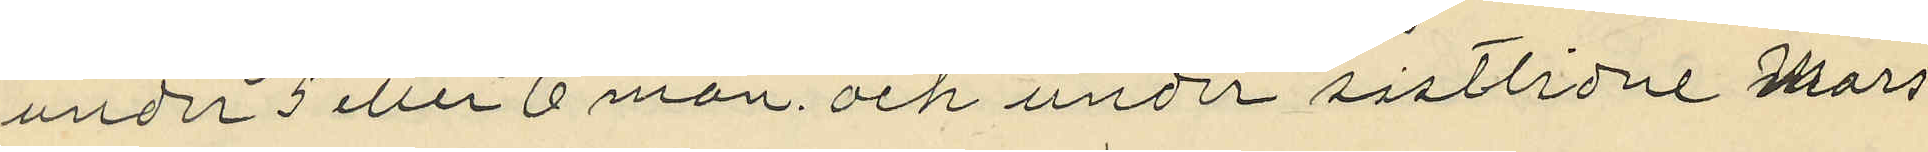under 5 eller 6 mån. och under sistlidne Mars
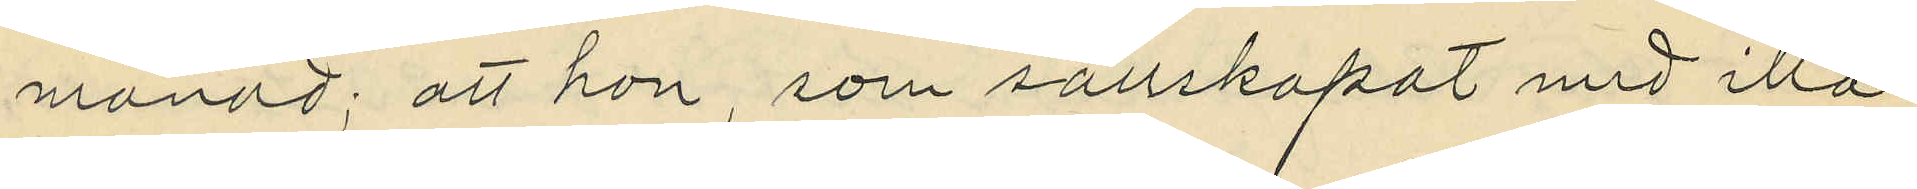månad; att hon, som sällskapat med illa
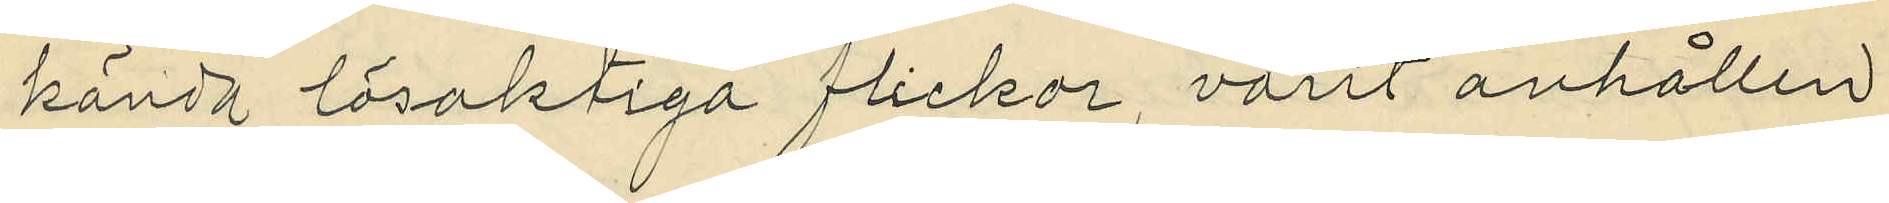kända lösaktiga flickor, varit anhållen
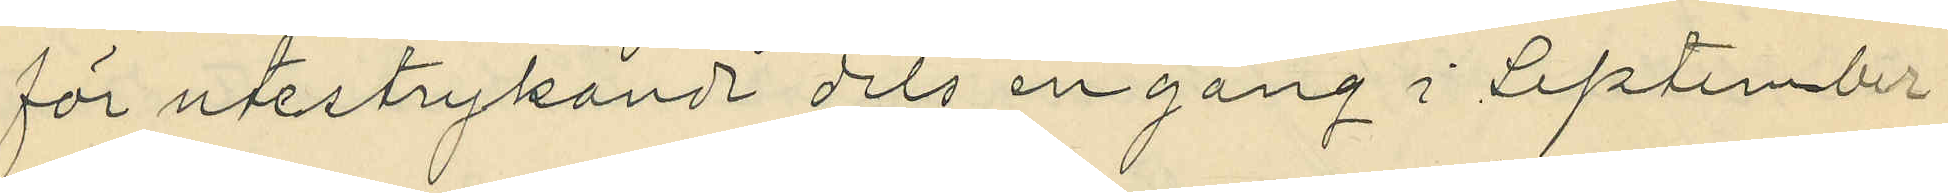för utestrykande dels en gång i September
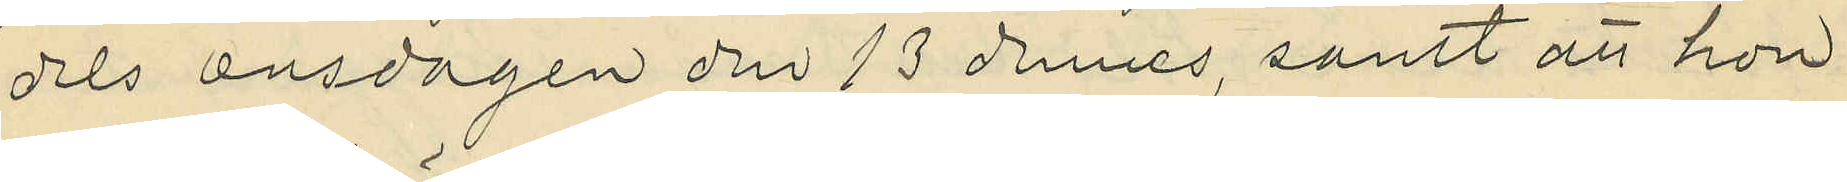dels onsdagen den 13 dennes, samt att hon
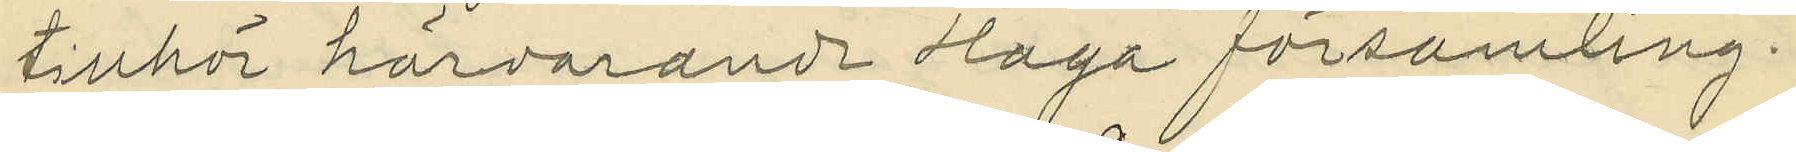tillhör härvarande Haga församling.
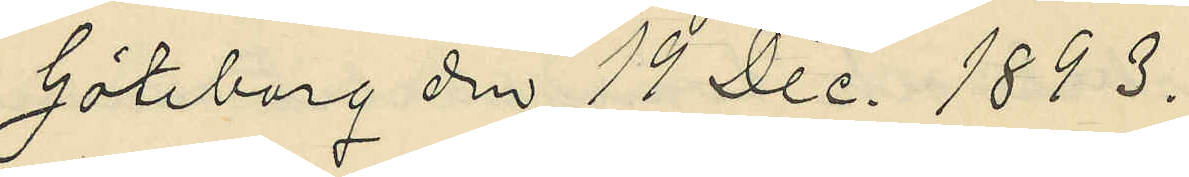Göteborg den 19 Dec. 1893.
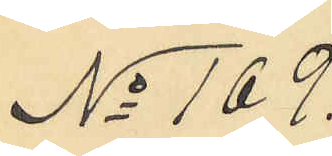No 169.
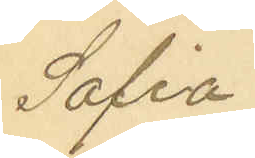Sofia
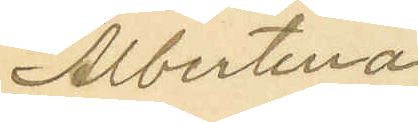Albertina
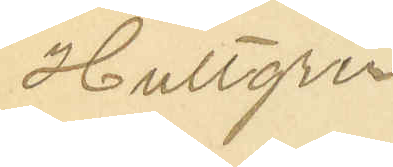Hultgren.
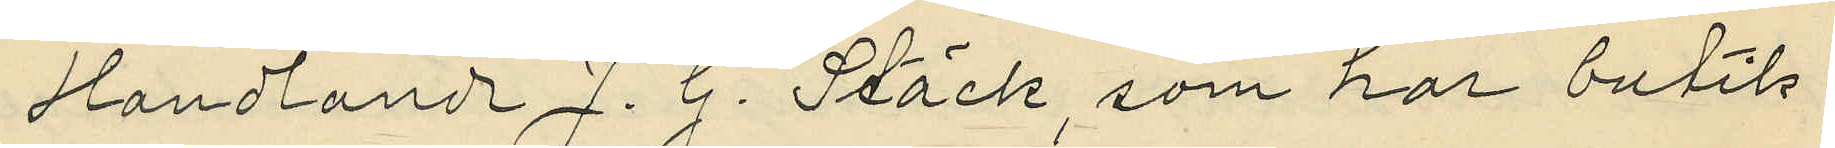Handlande J. G. Stäck, som har butik
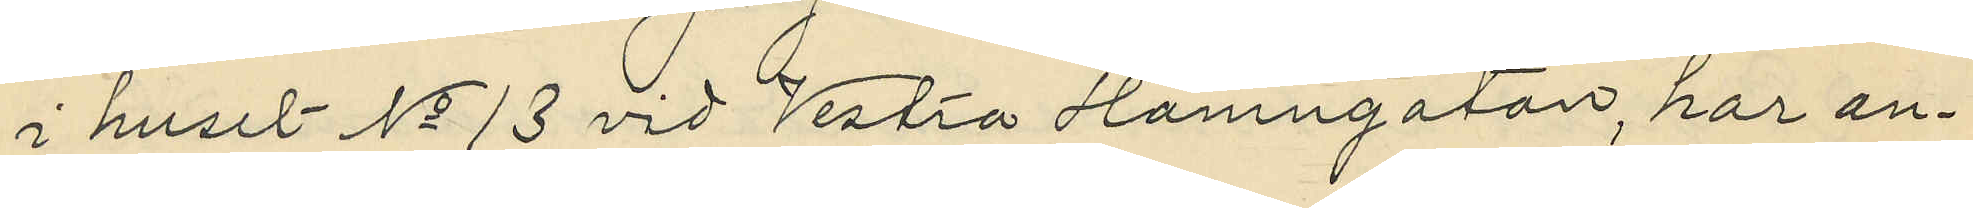i huset No 13 vid Vestra Hamngatan, har an¬
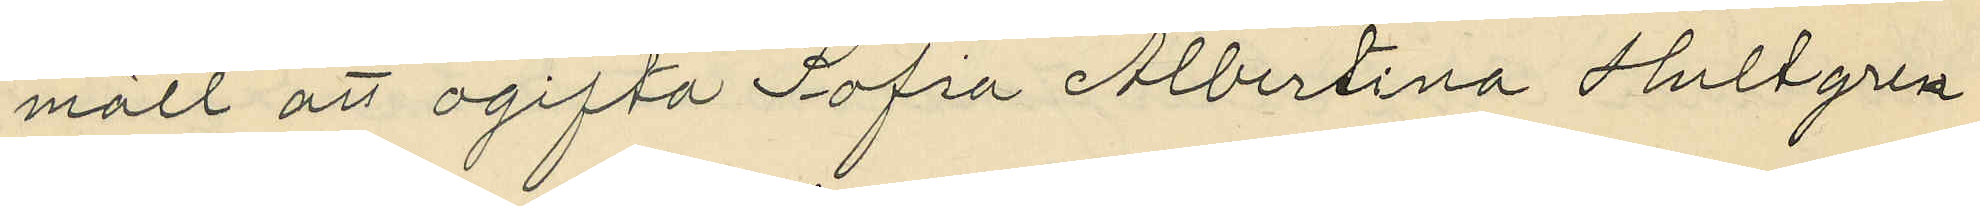mält att ogifta Sofia Albertina Hultgren
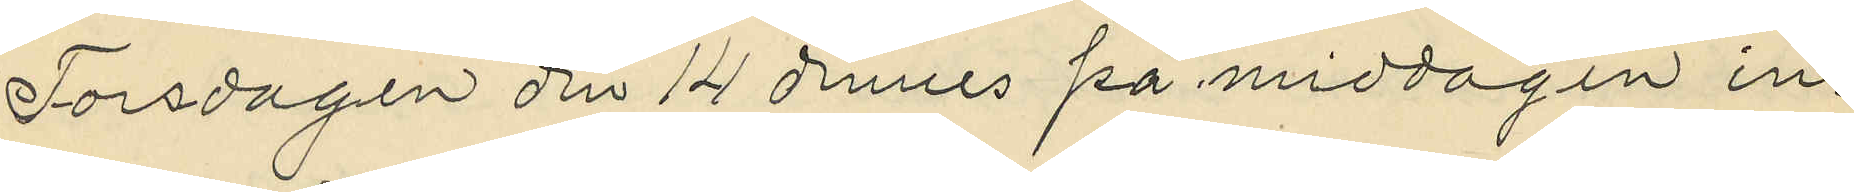Torsdagen den 14 dennes på middagen in¬
